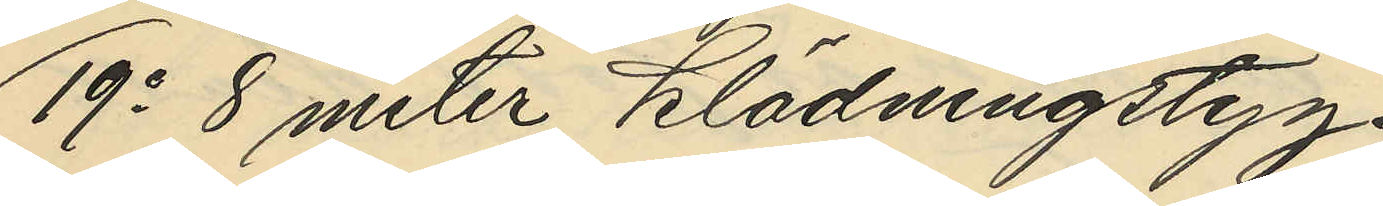19o 8 meter Klädningstyg
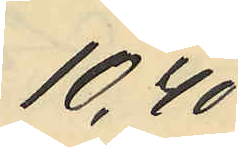10,40
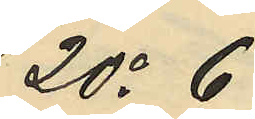20o 6
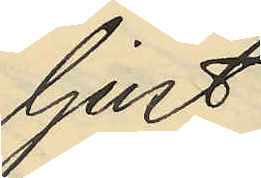ljust
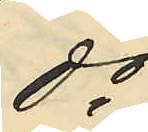do
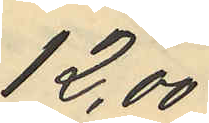12,00
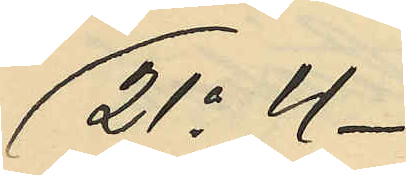21o 4
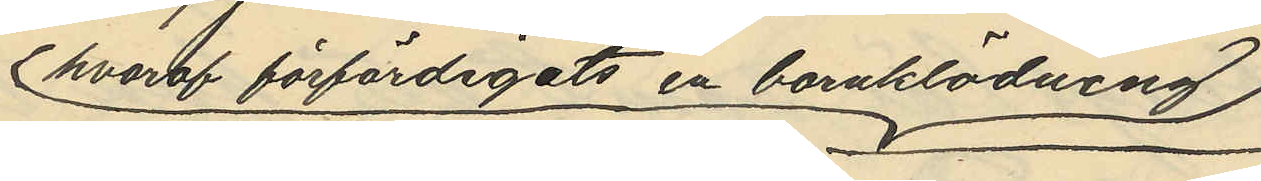hvaraf förfärdigats en barnklädning
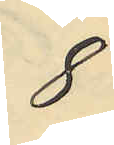8
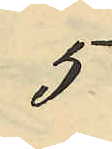5
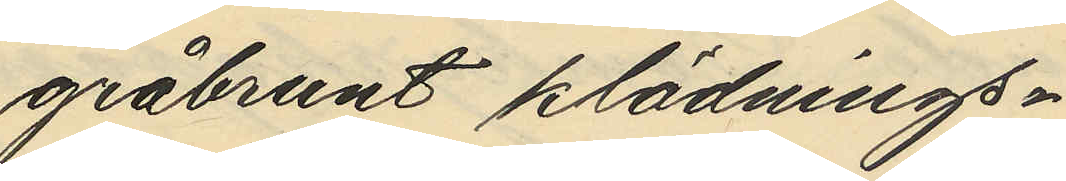gråbrunt klädnings¬
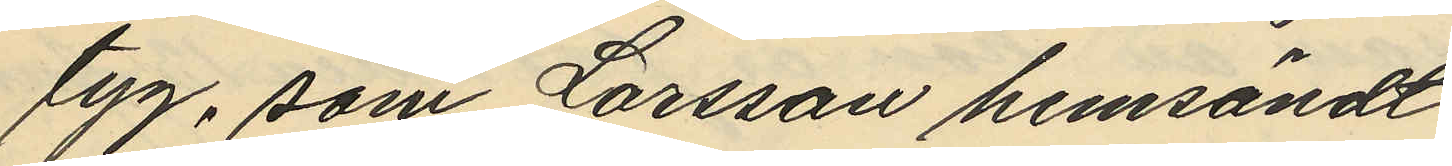tyg, som Larsson hemsändt
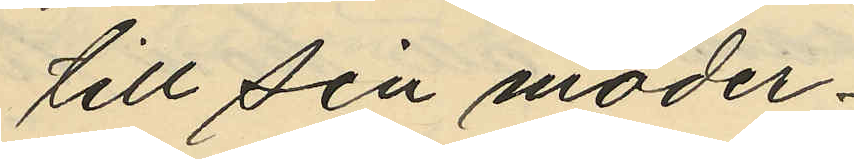till sin moder
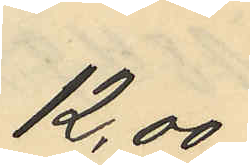12,00
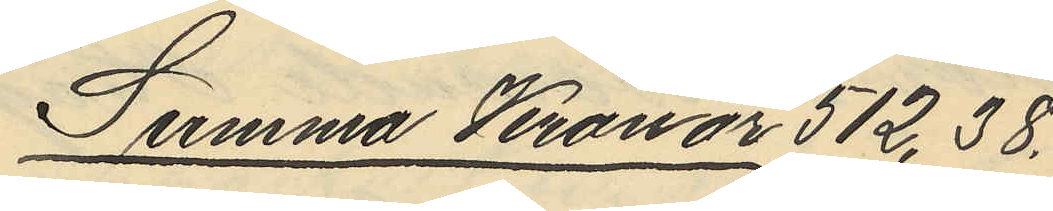Summa Kronor 512,38.
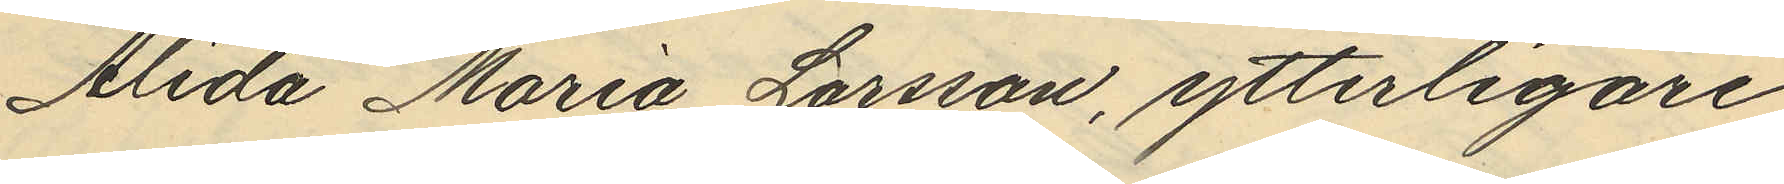Alida Maria Larsson, ytterligare
